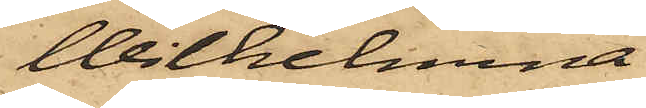Wilhelmina
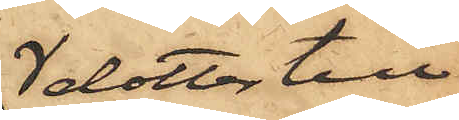dotter till
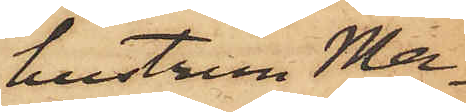hustrun Ma¬
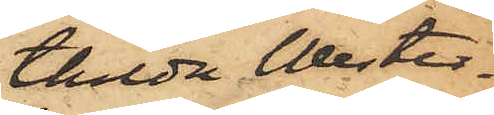thilda Wester¬
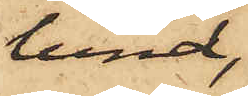lund,
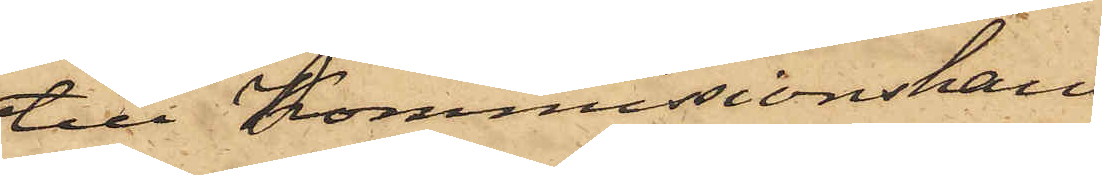till Kommissionshand¬
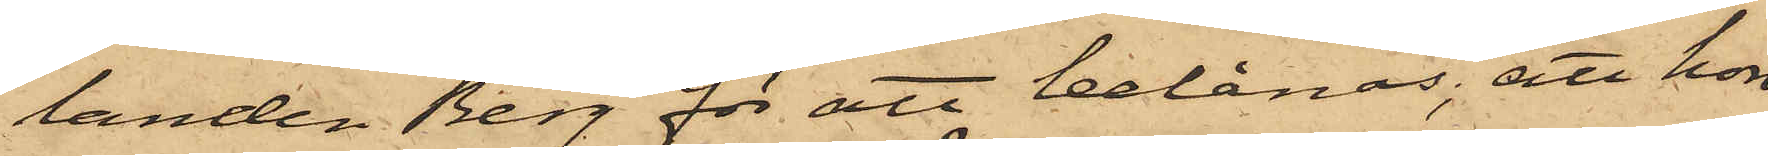landen Berg för att belånas, att hon
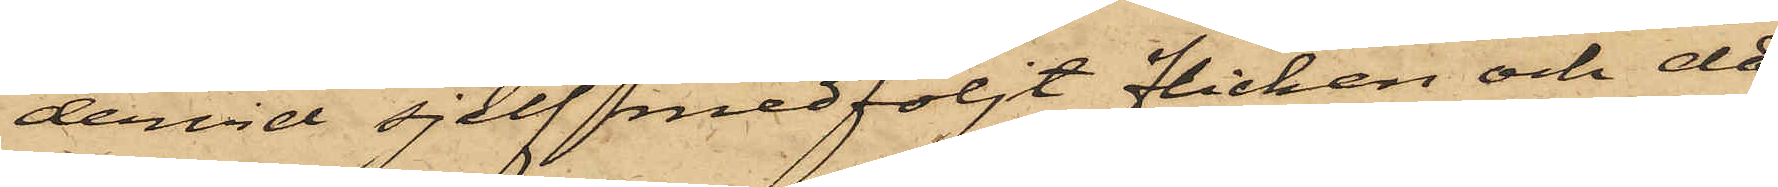dervid sjelf medföljt flickan och då
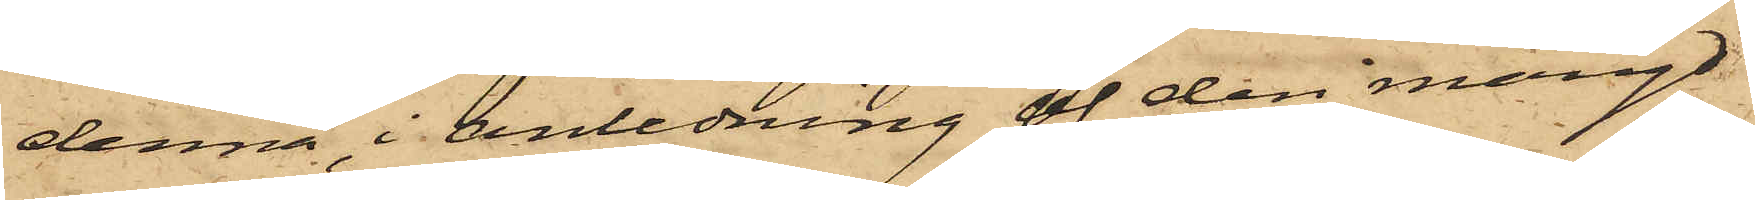denna, i anledning af den mängd
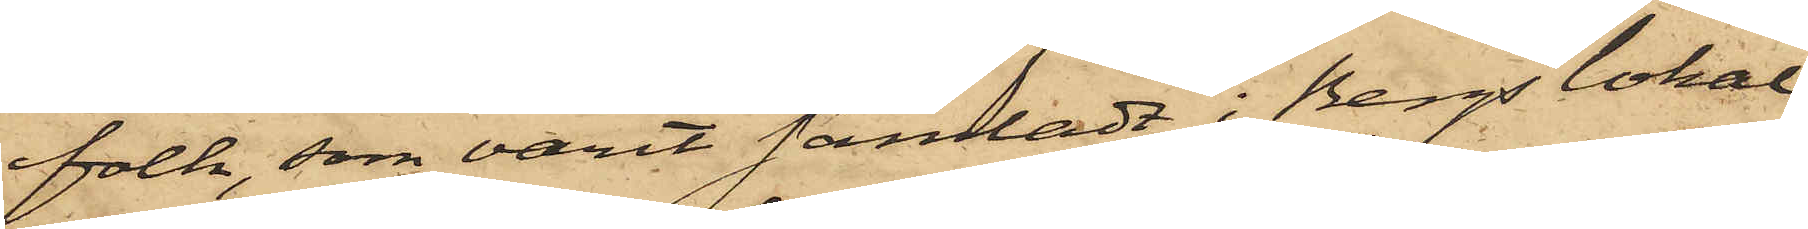folk, som varit samladt i Bergs lokal,
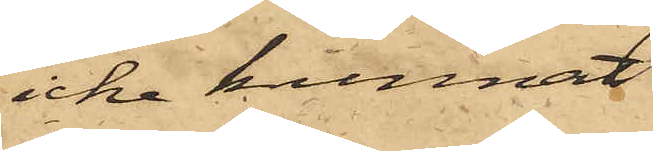icke kunnat
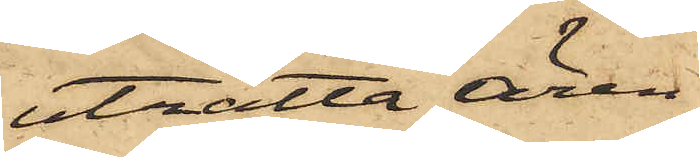uträtta ären¬
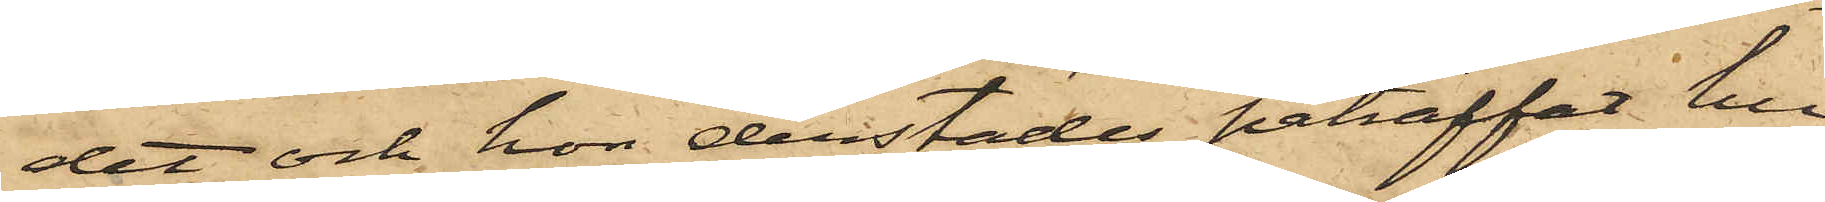det och hon derstädes påträffat hu¬
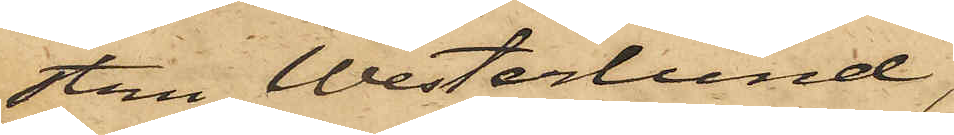stru Westerlund,
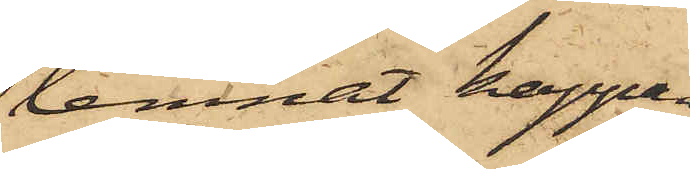lemnat kappan
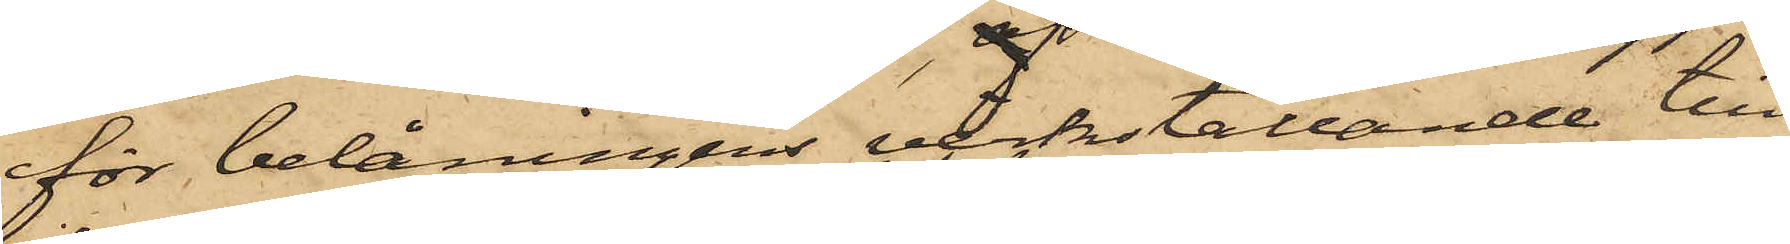för belåningens verkställande till
